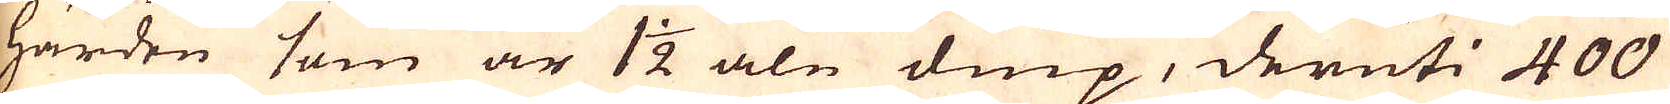härden som är 1 1/2 aln diup, deruti 400
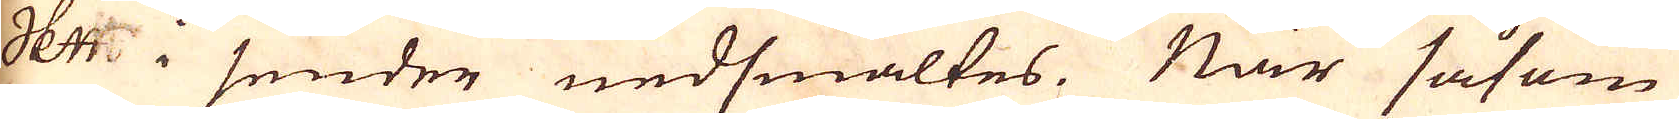skeppund i sender nedsmältes. När såsom
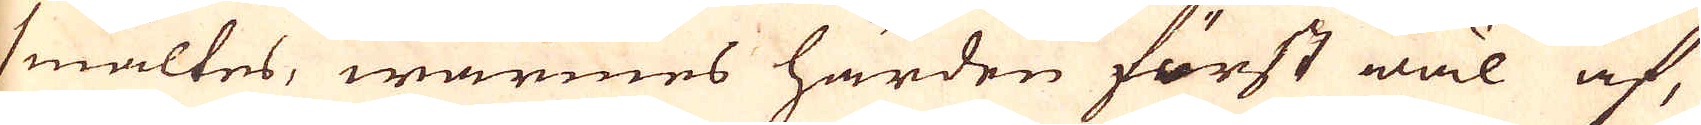smältes, wärmes härden först wäl af,
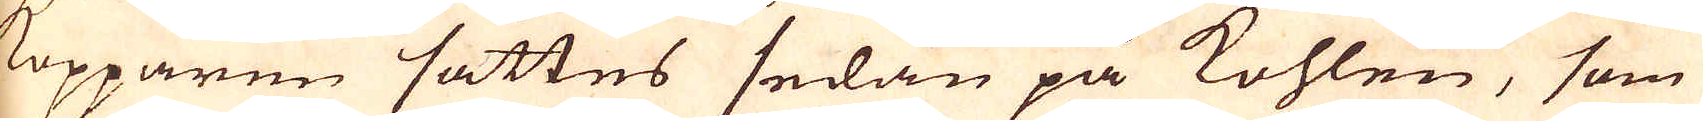Kopparen sättes sedan på kohlen, som
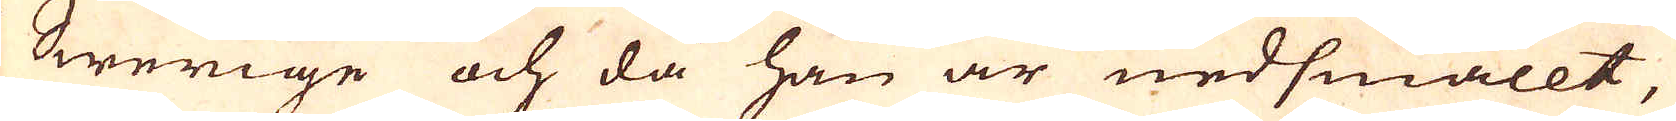i Swerige och då han är nedsmällt,
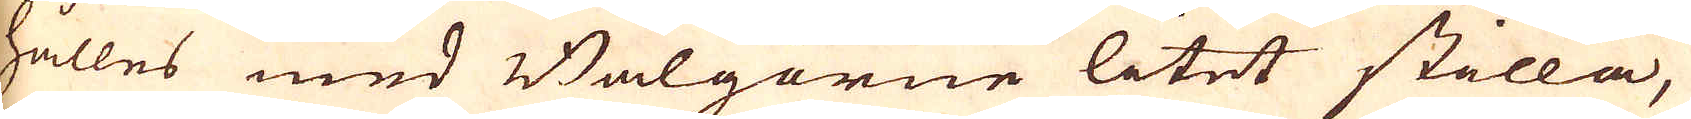hålles med Bälgorne litet stilla,
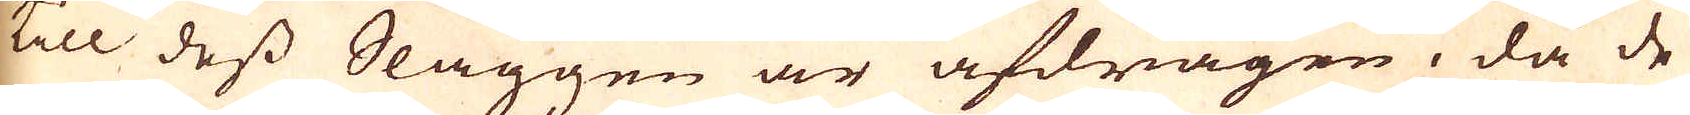till dess Slaggen är afdragen, då de
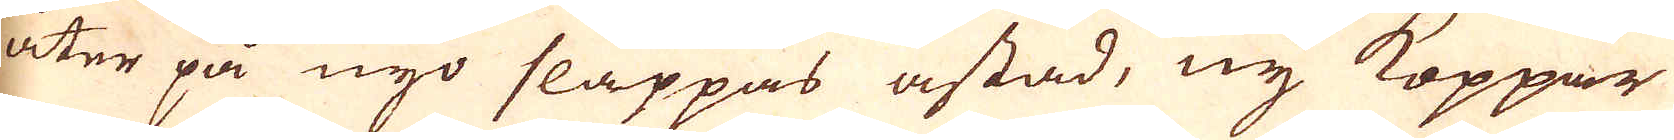åter på nyo slaäppas åstad, ny Koppar
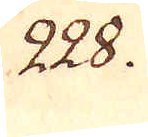228.
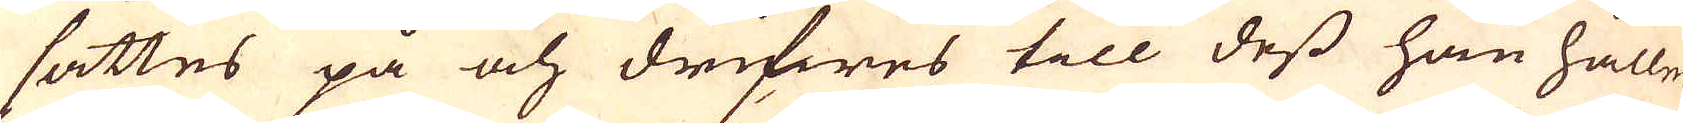sättes på och drifwes till dess han håller
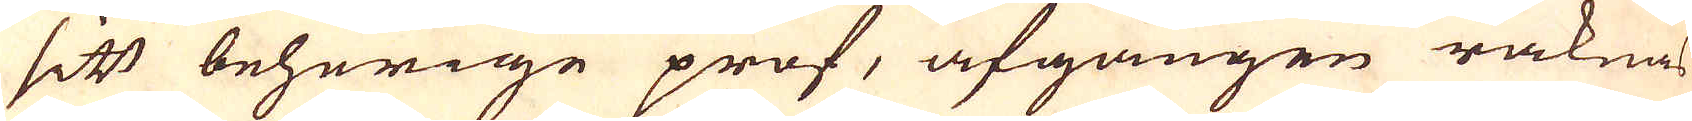sitt behörige prof, afgången räknas
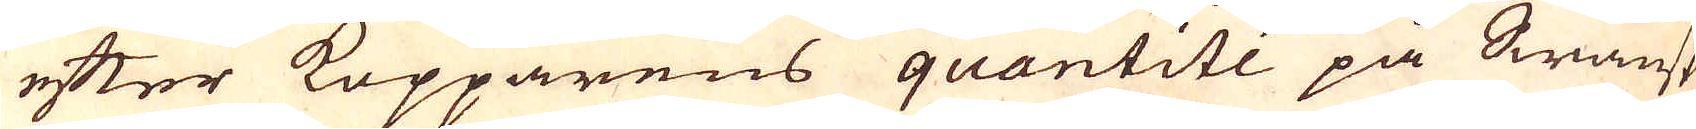efter Kopparens quantité på Swänsk
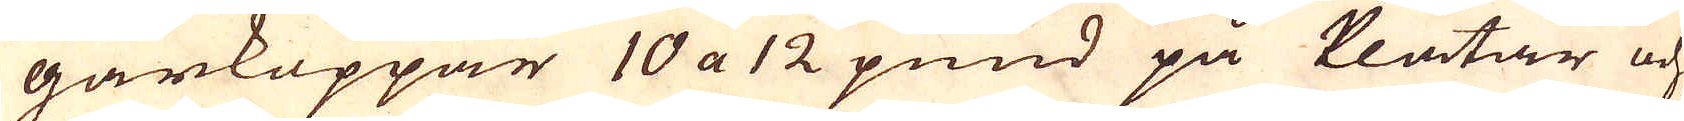gårkoppar 10 a 12 pund på Plåtar och
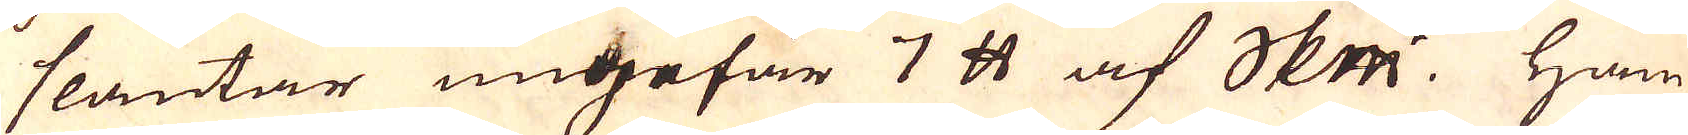slantar ungefär 7 skålpund af skeppundet. Ham-
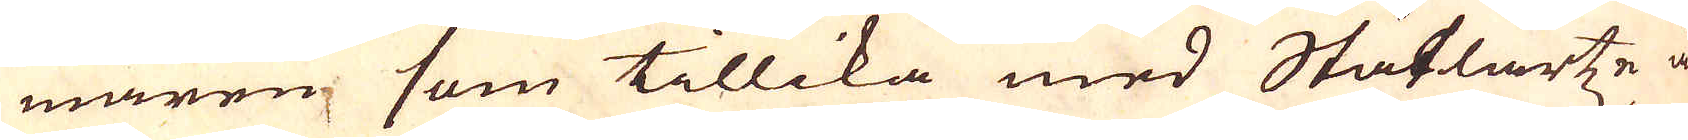maren som tillika med Staflartze är
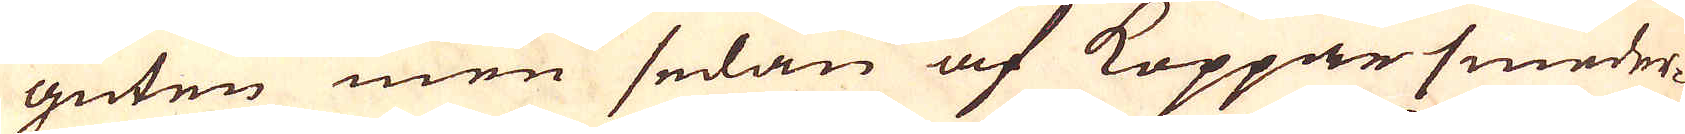guten men sedan af Kopparsmeder-
